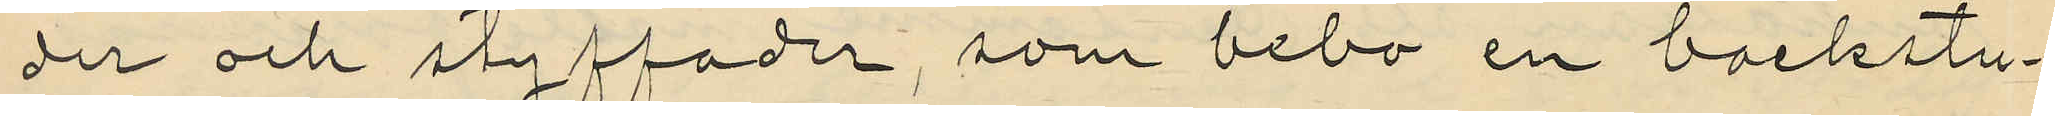der och styffader, som bebo en backstu¬
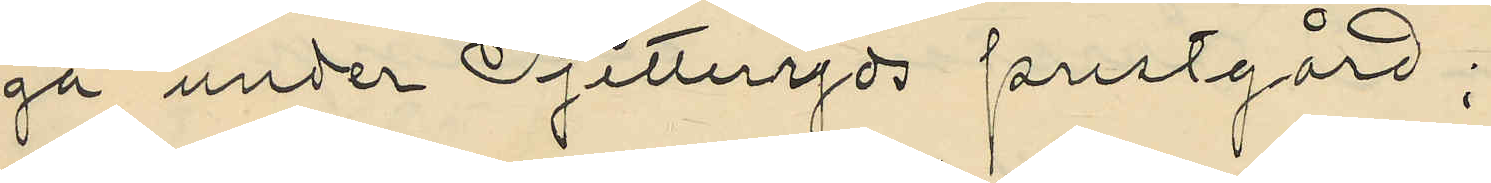ga under Pjetteryds prestgård;
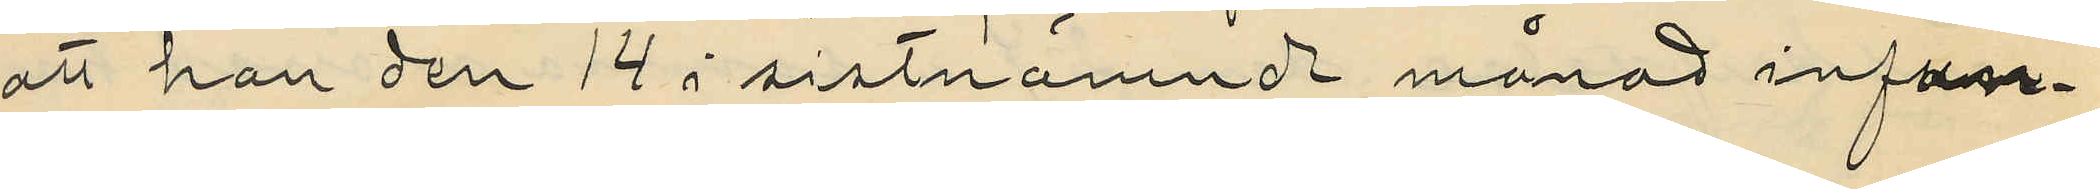att han den 14 i sistnämnde månad infun¬
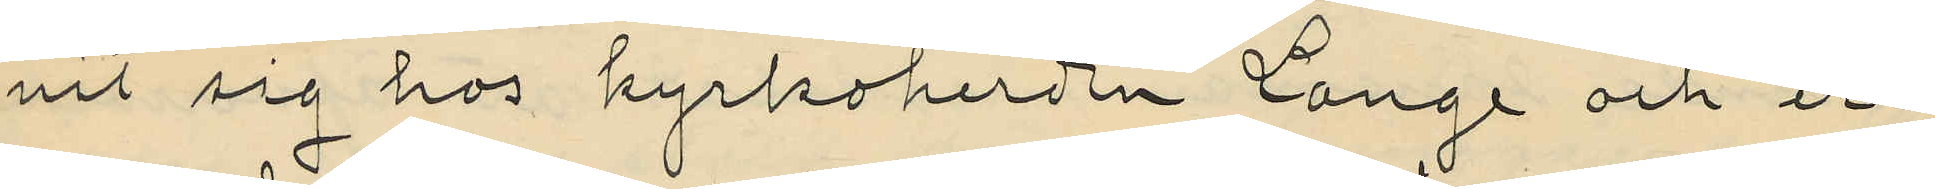nit sig hos kyrkoherden Lange och er¬
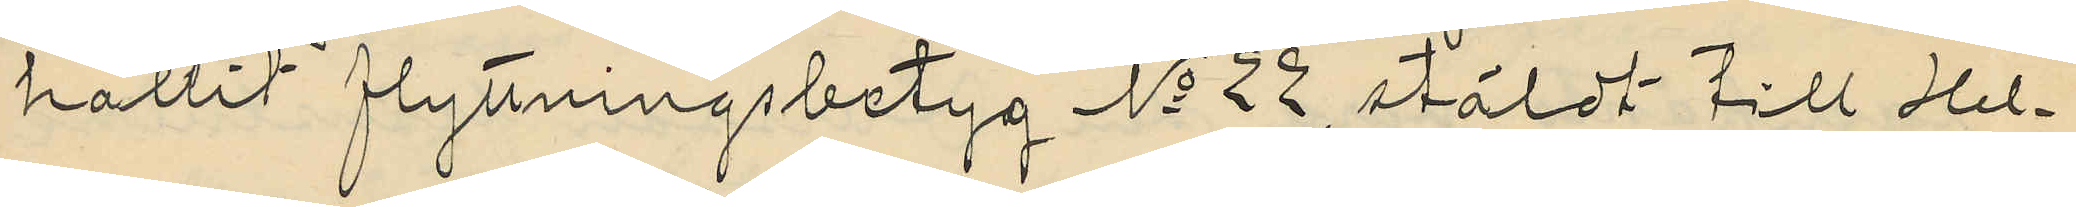hållit flyttningsbetyg No 28, stäldt till Hel¬
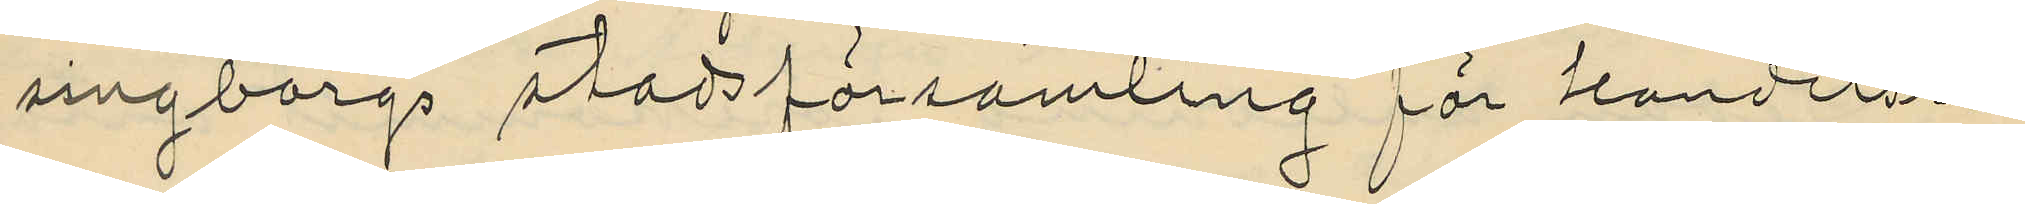singborgs stadsförsamling för handelsre¬
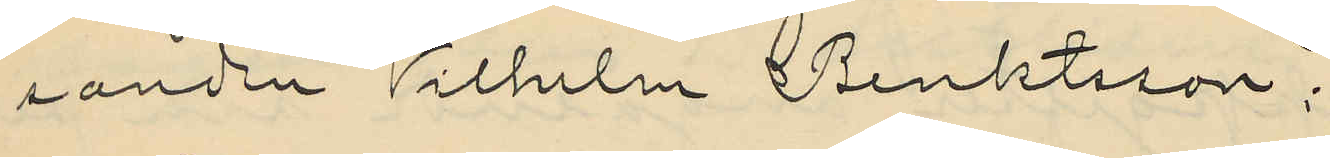sanden Vilhelm Benktsson;
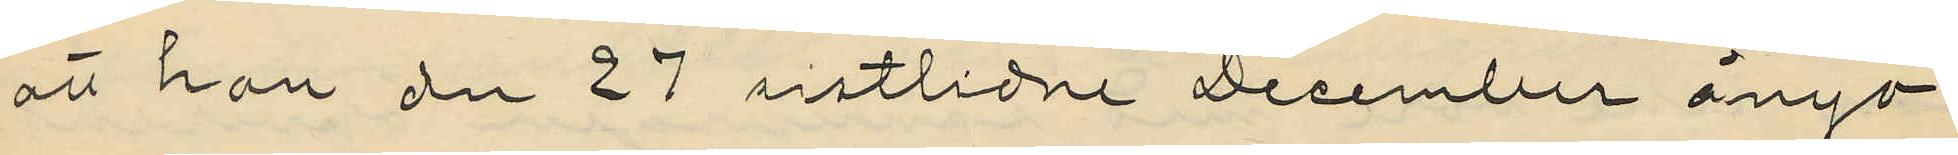att han den 27 sistlidne December ånyo
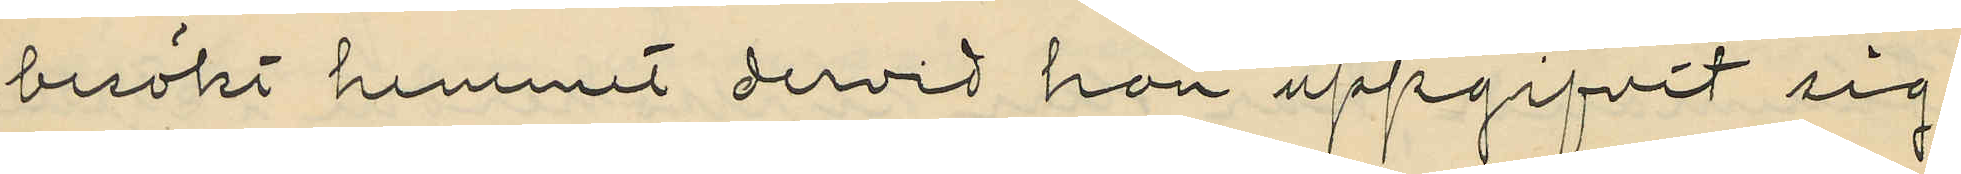besökt hemmet dervid han uppgifvit sig
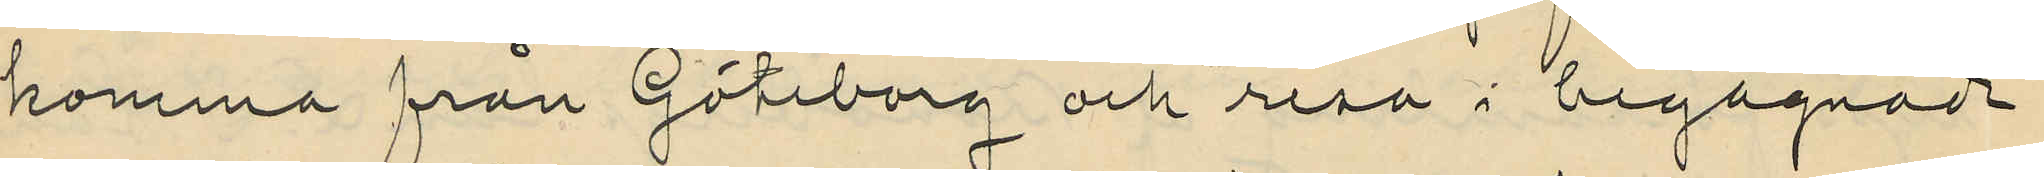komma från Göteborg och resa i begagnade
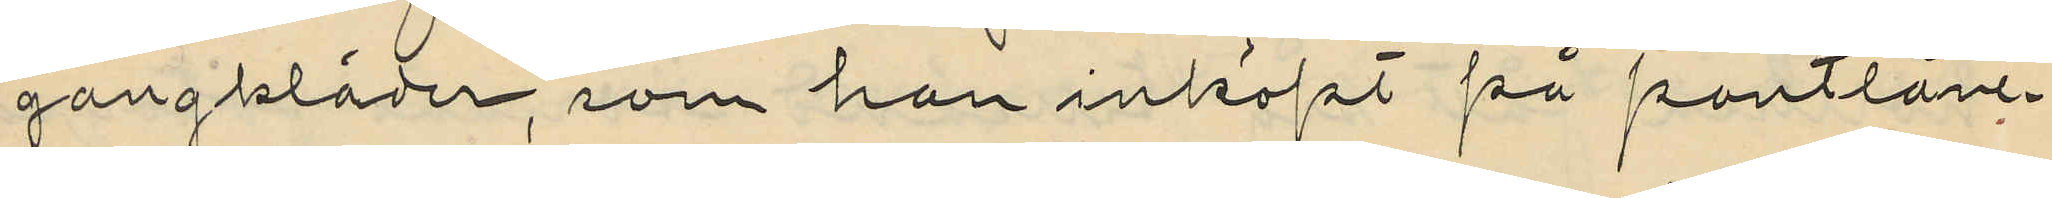gångkläder, som han inköpt på pantlåne¬
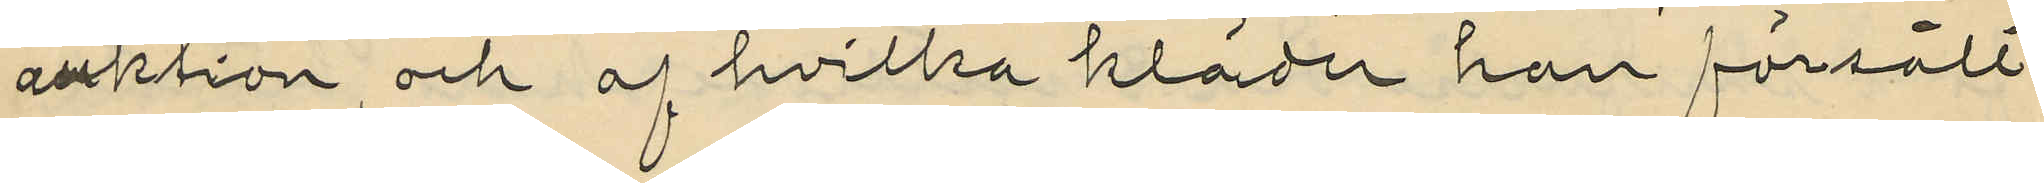auktion och af hvilka kläder han försålt
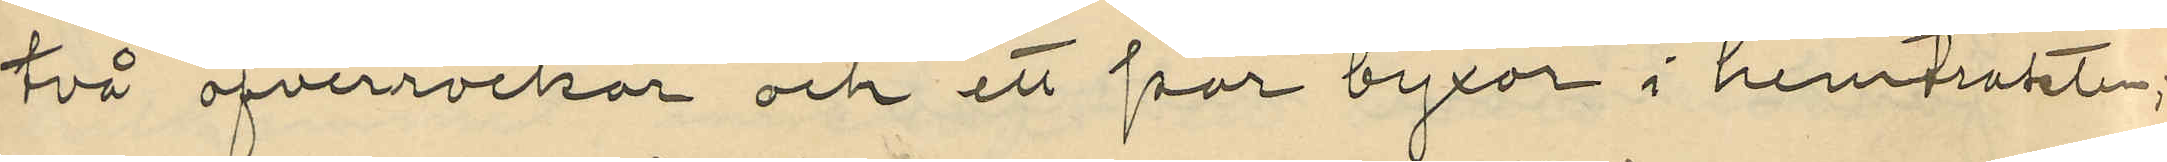två öfverrockar och ett par byxor i hemtrakten;
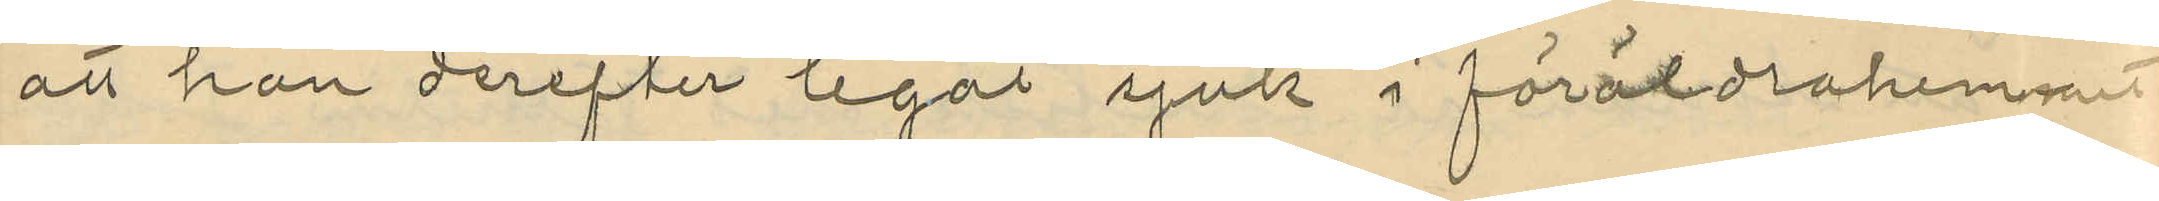att han derefter legat sjuk i föräldrarhemmet
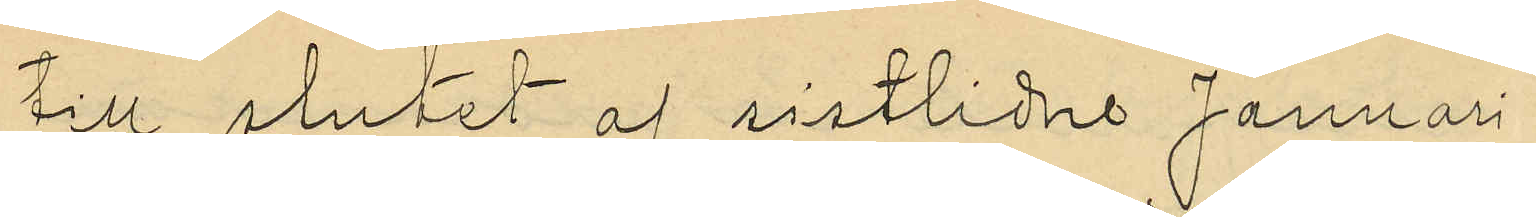till slutet af sistlidne Januari
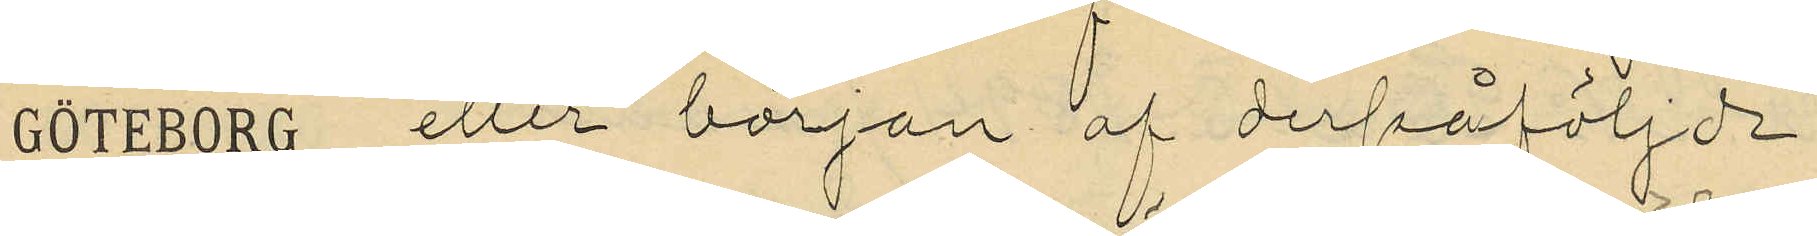eller början af derpåföljande
